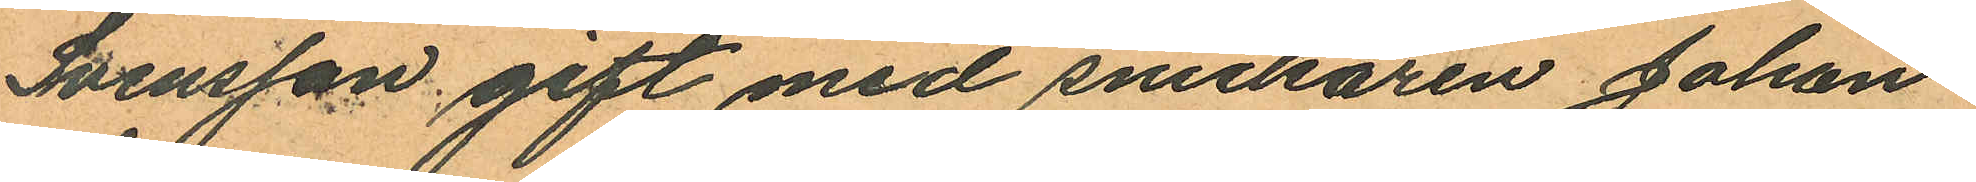Svensson gift med snickaren Johan
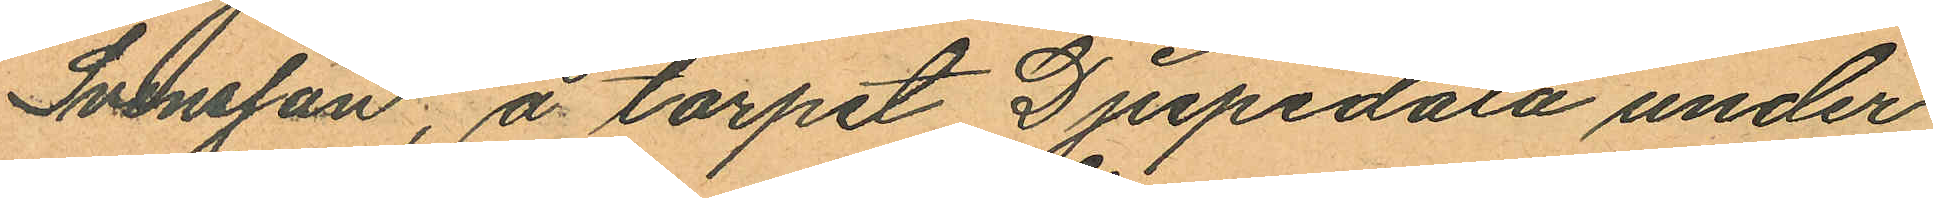Svensson, å torpet Djupedala under
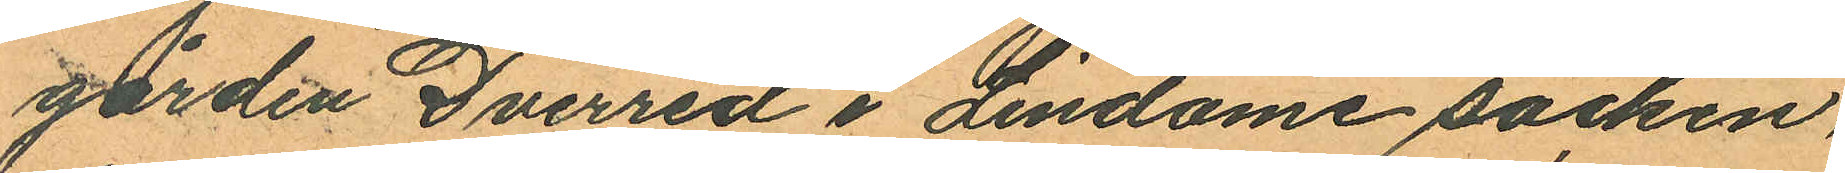gården Duerred i Lindome socken
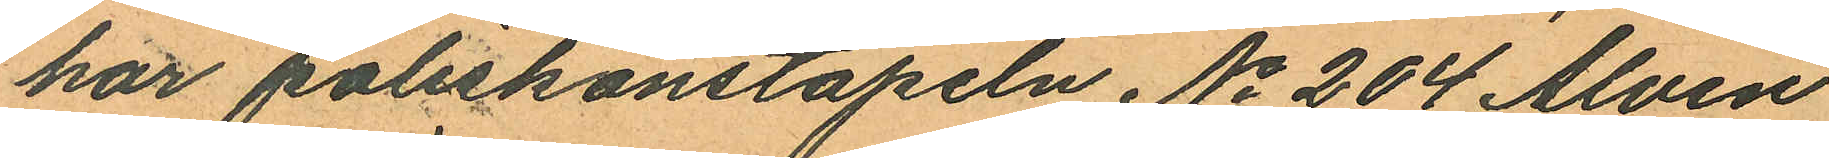har poliskonstapeln No 204 Alvin
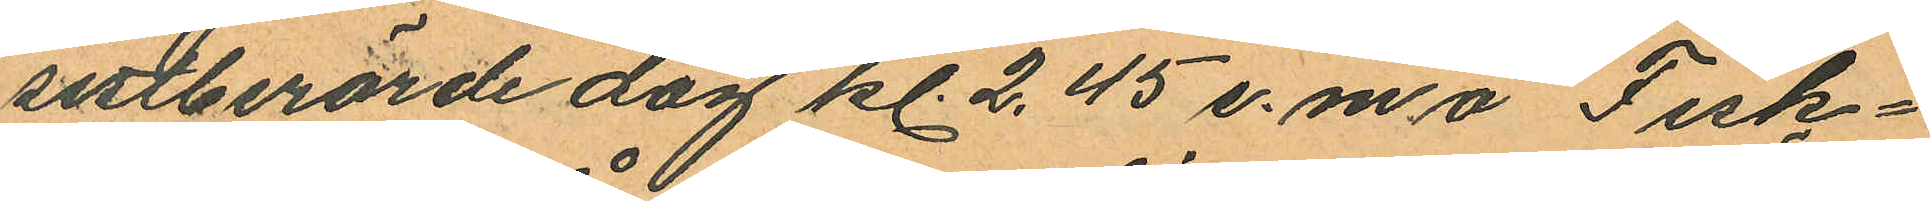sistberörde dag kl. 2.45 e.m å Fisk¬
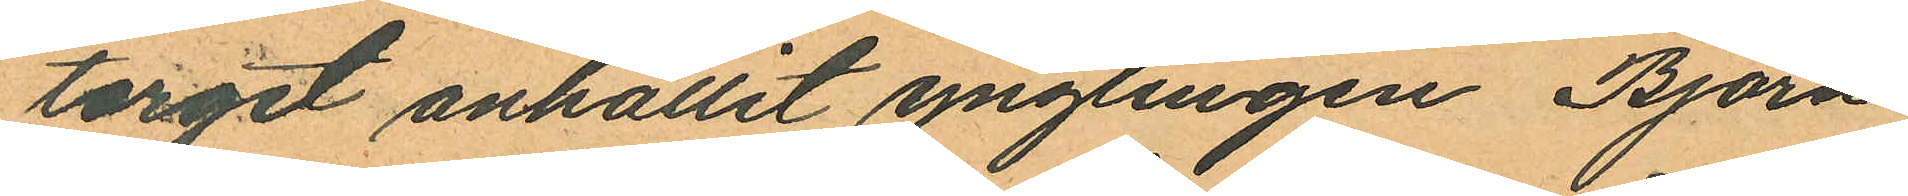torget anhållit ynglingen Björn
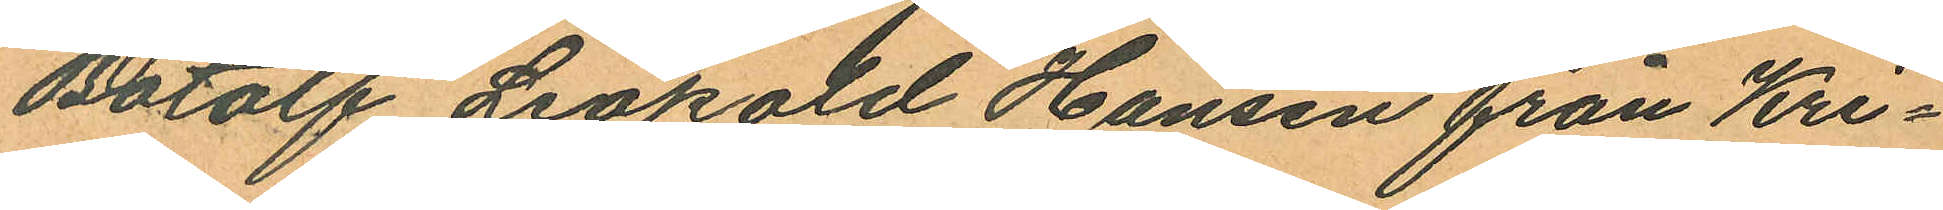Botolf Leopold Hansen från Kri¬
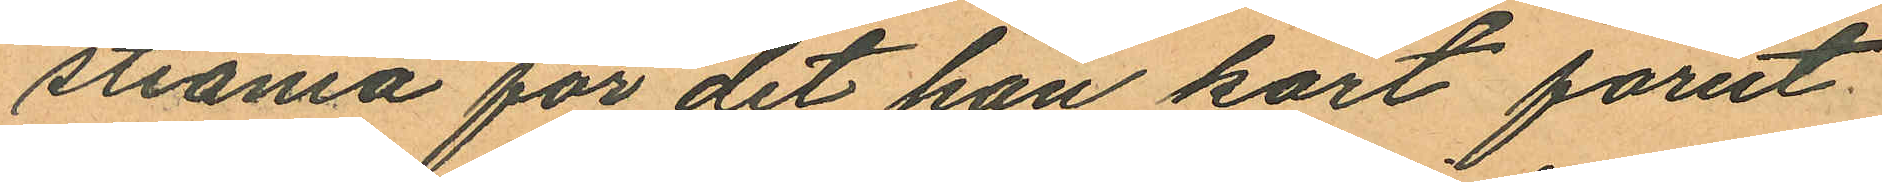stiania för det han kort förut
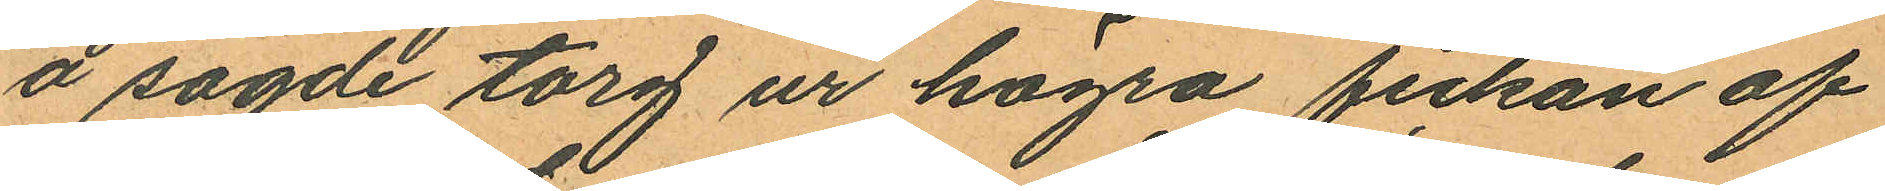å sagde torg ur högra fickan af
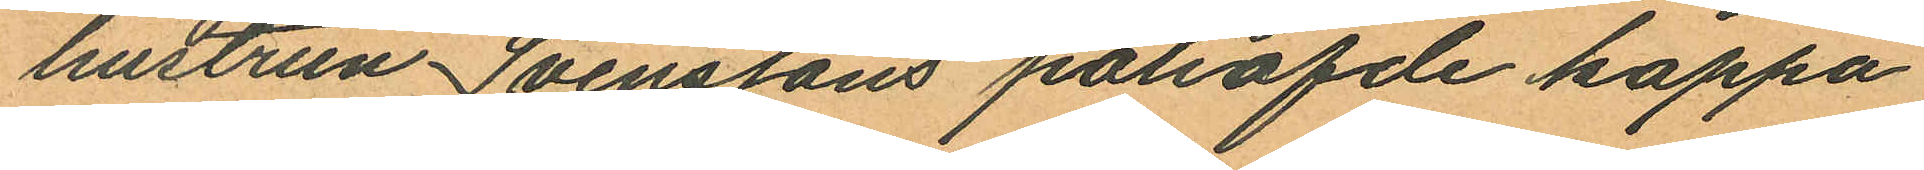hustrun Svenssons påhafde kappa
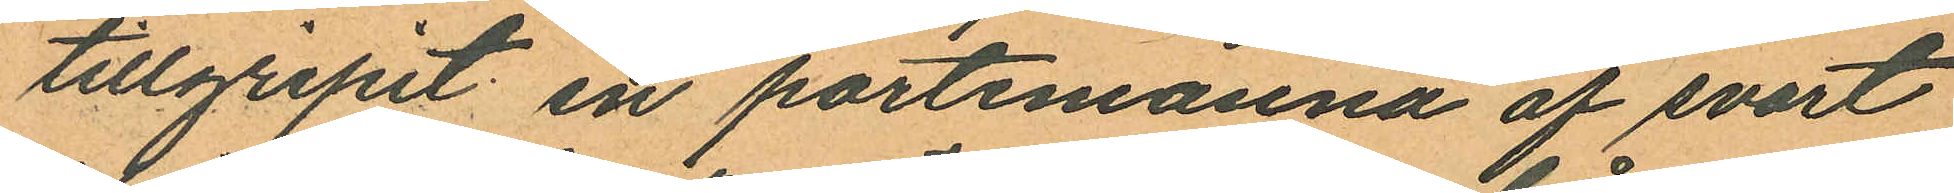tillgripit en portemonnä af svart
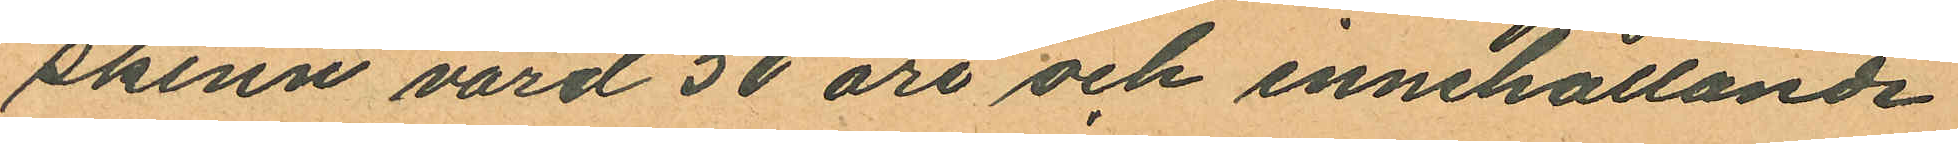skinn värd 50 öre och innehållande
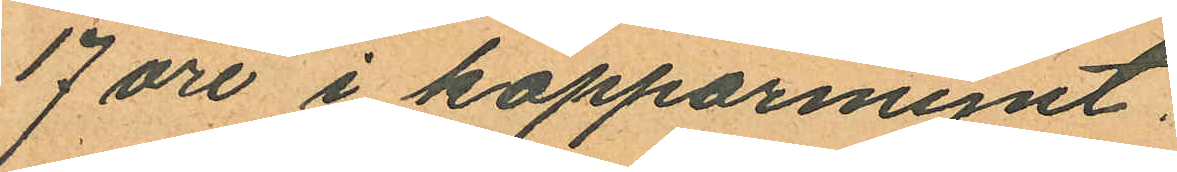17 öre i kopparmynt.
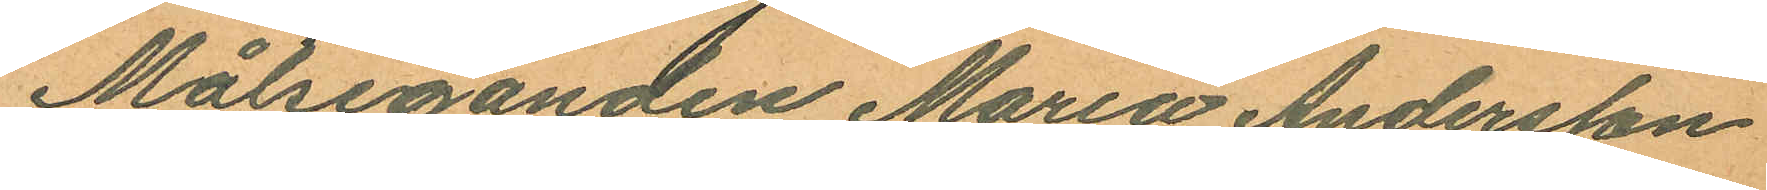Målseganden Maria Andersson
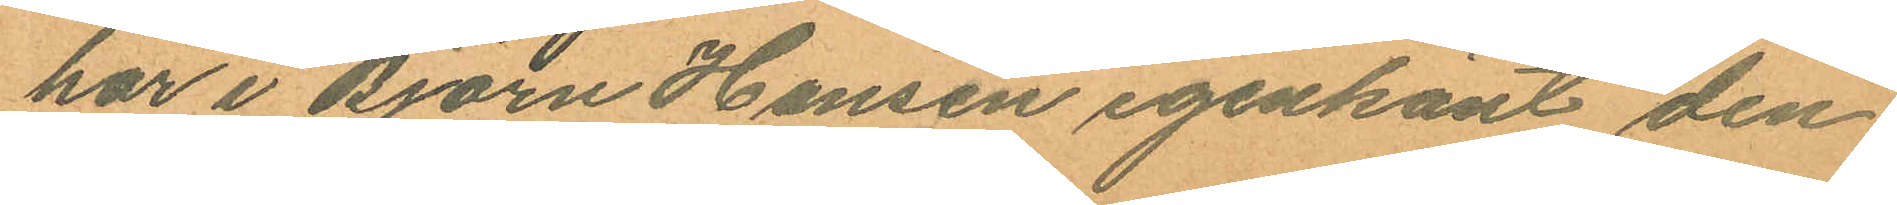har i Björn Hansen igenkänt den
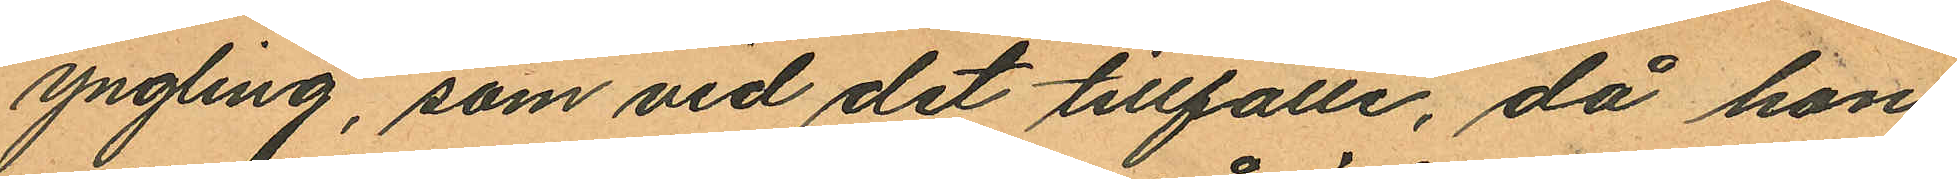yngling, som vid det tillfälle, då hon
